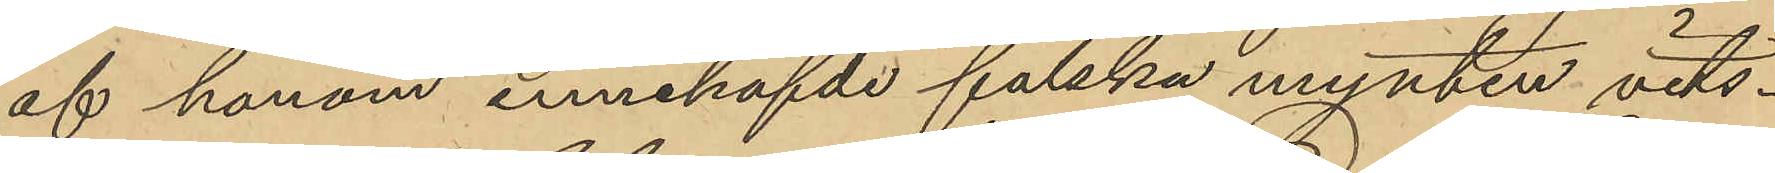af honom innehafvde falska mynten vits¬
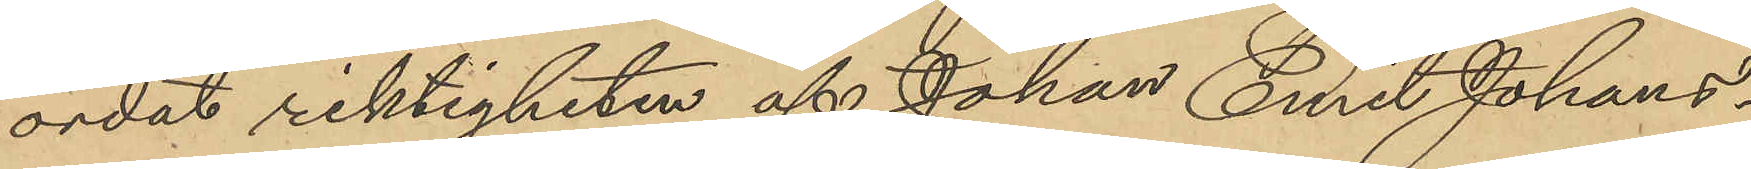ordat riktigheten af Johan Emil Johans¬
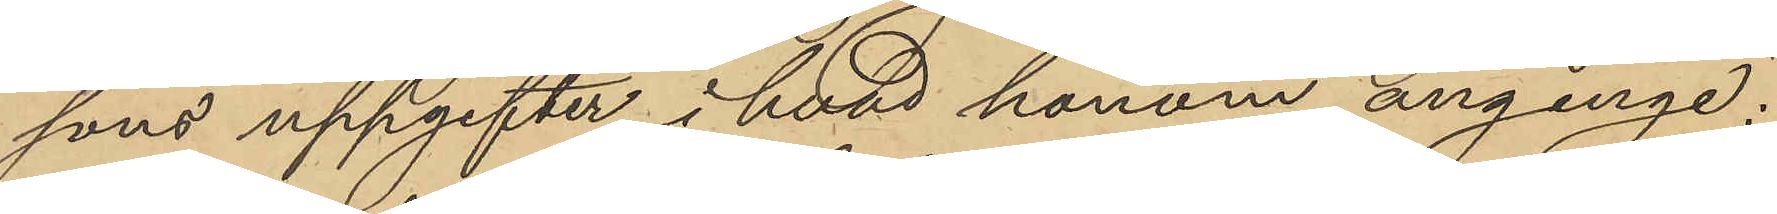sons uppgifter i hvad honom anginge;
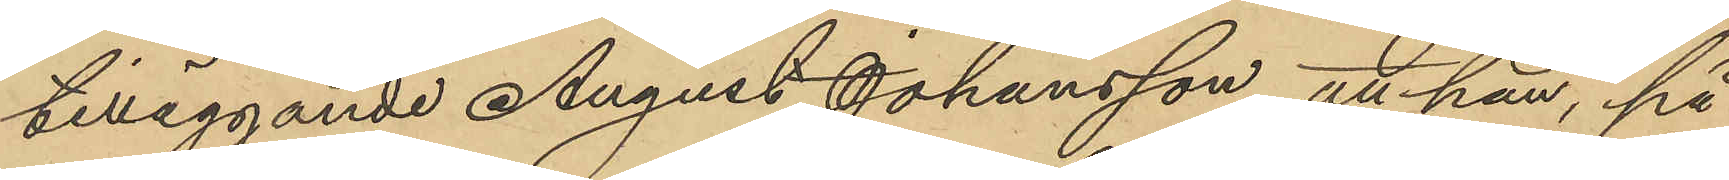tilläggande August Johansson, att han, på
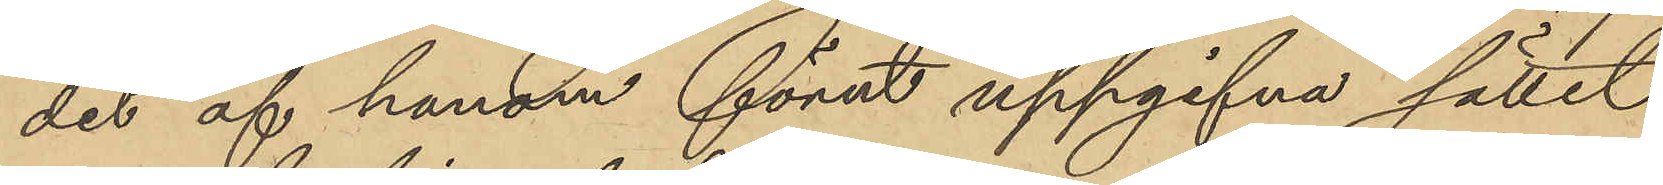det af honom förut uppgifna sättet
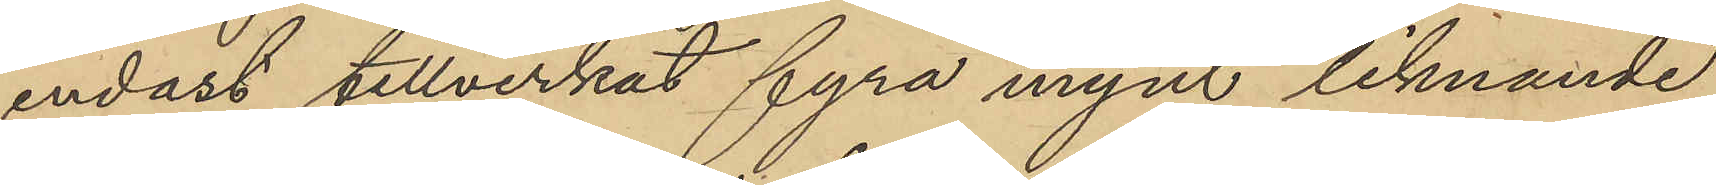endast tillverkat fyra mynt liknande
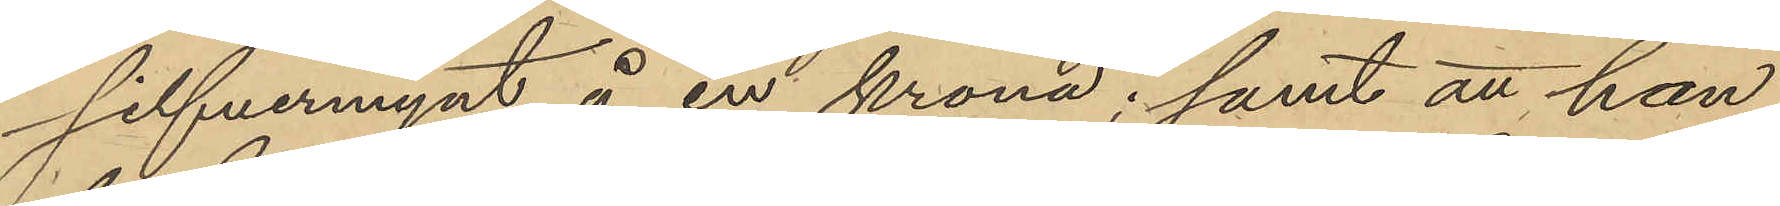silfvermynt å en krona; samt att han
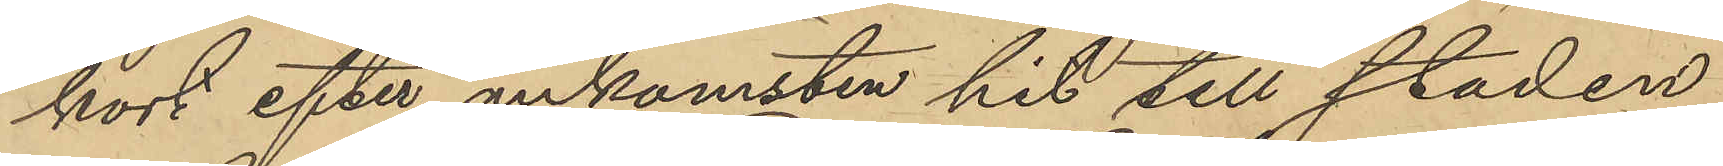kort efter ankomsten hit till staden
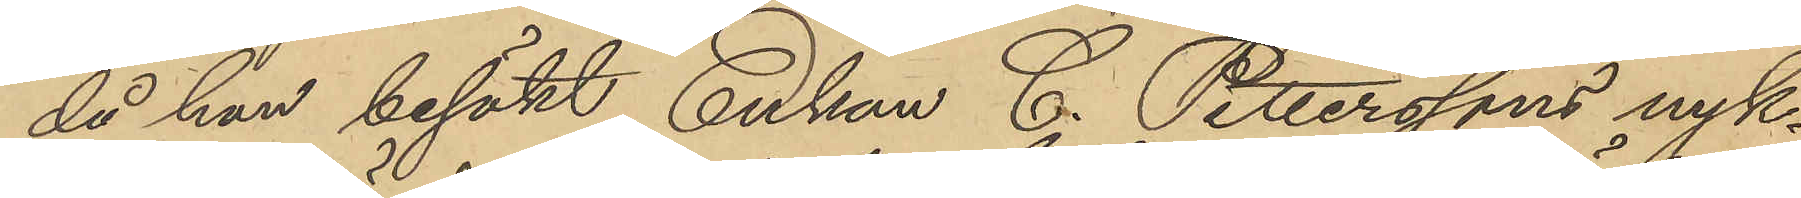då han besökt Enkan C. Petterssons nyk¬
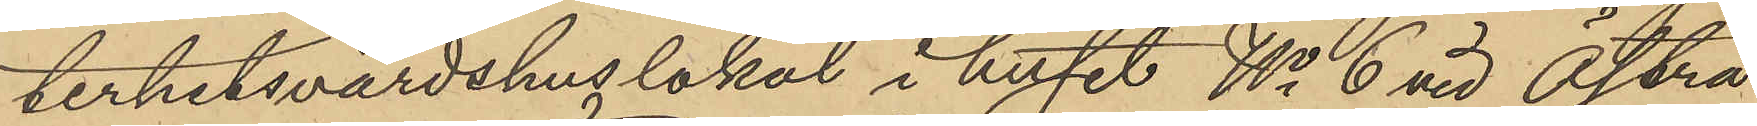terhetsvärdshuslokal i huset No 6 vid Östra
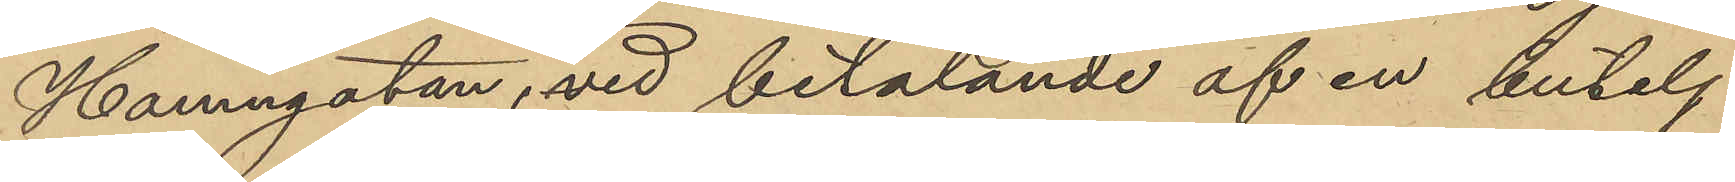Hamngatan, vid betalande af en butelj
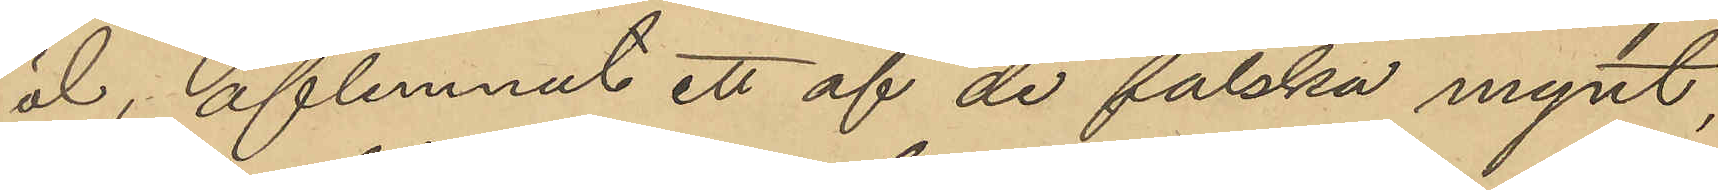öl, aflemnat ett af de falska mynt,
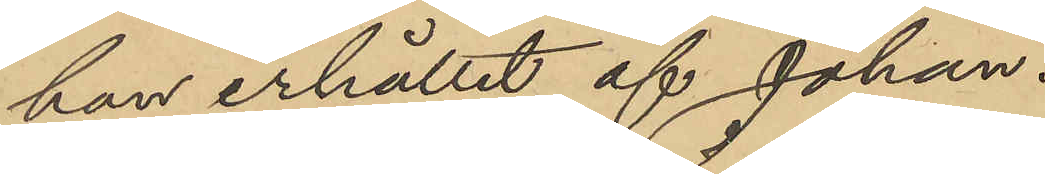han erhållit af Johan.
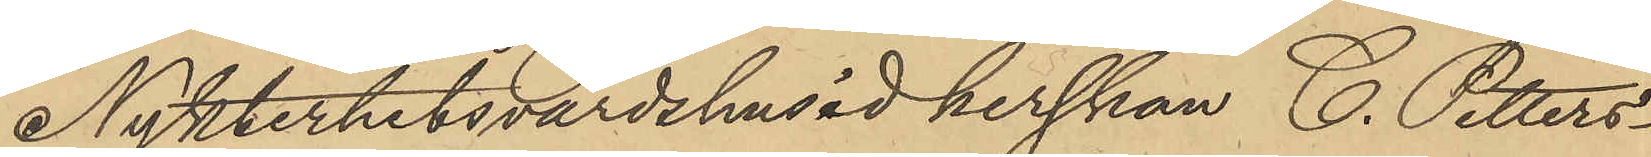Nykterhetsvärdshusidkerskan C. Petters¬
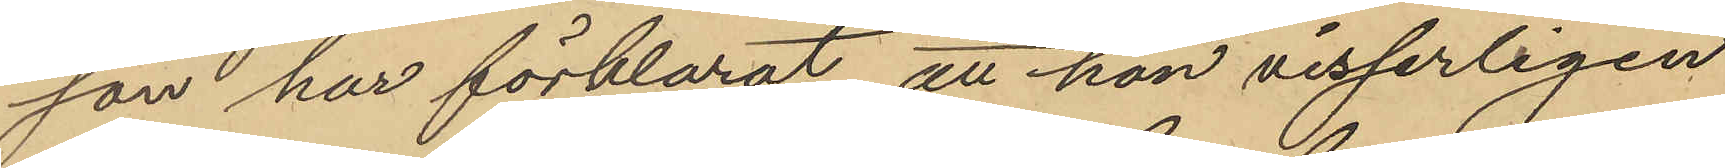son har förklarat, att hon visserligen
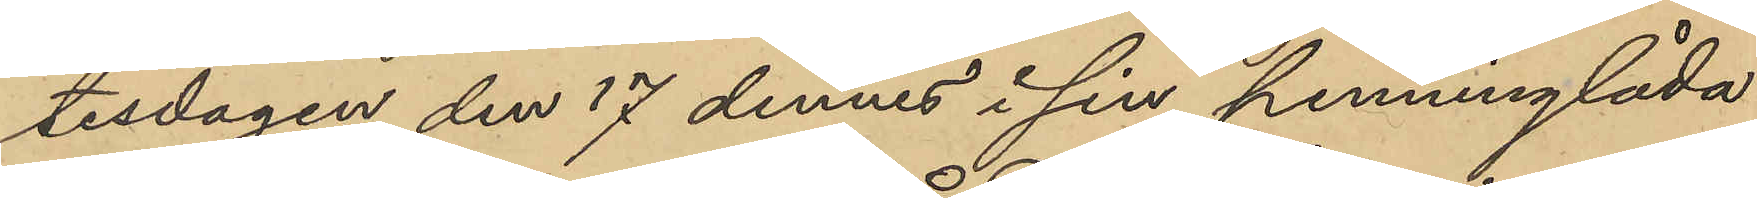tisdagen den 17 dennes i sin penninglåda
